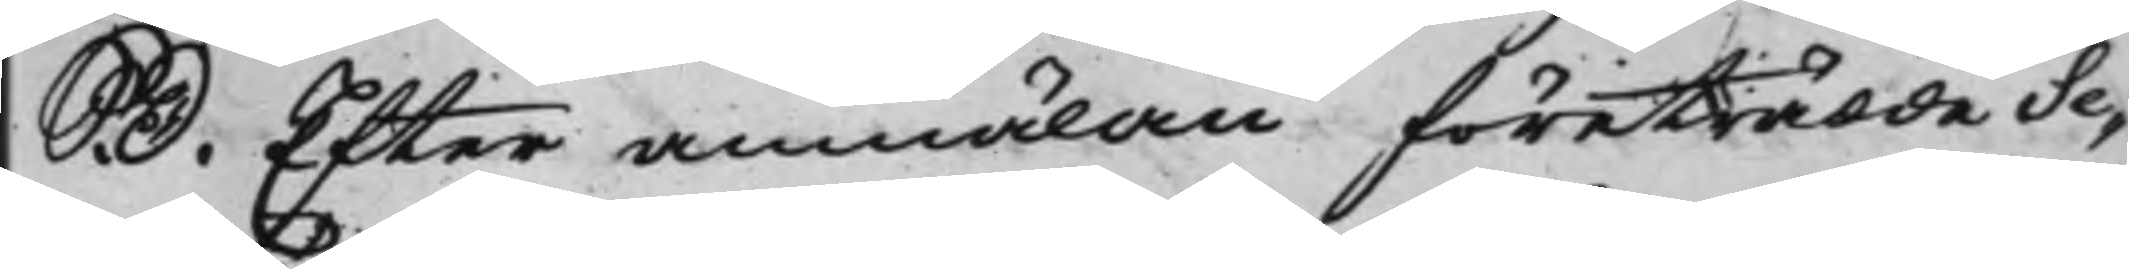S. D. Efter anmälan företrädde Se¬
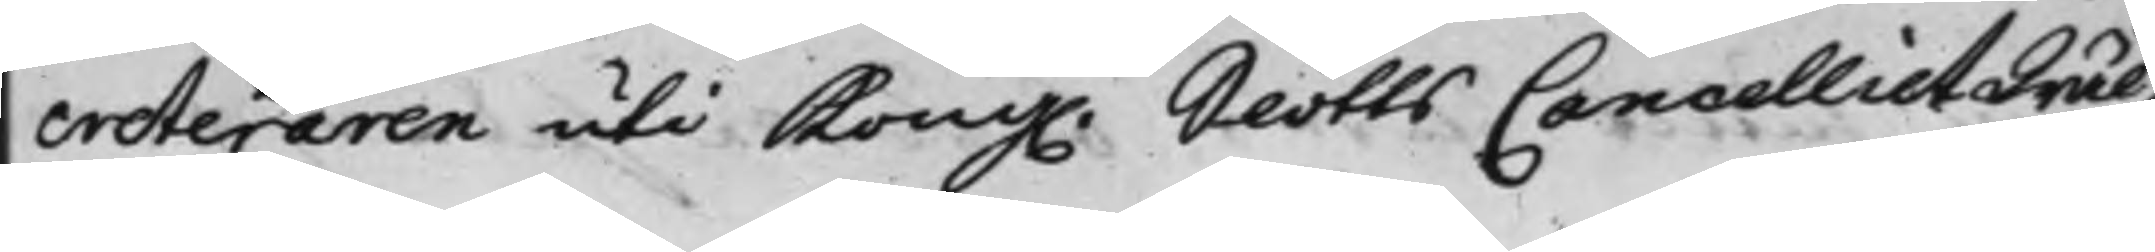creteraren uti Kong. SlottsCancelliet Wäl¬ 
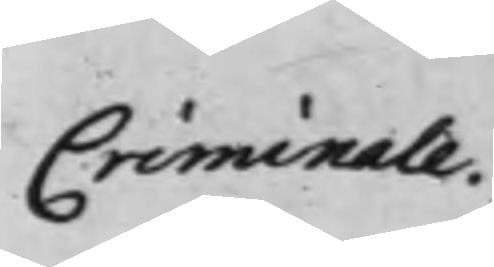Criminale.
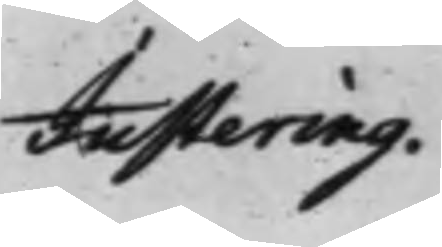Justering.
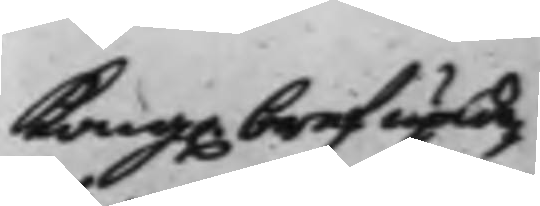Kong. bref uplä¬
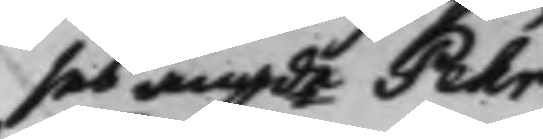ses angde Pehr
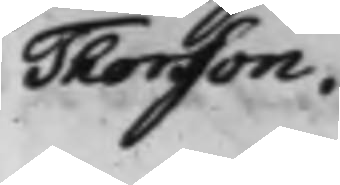Thorsson.
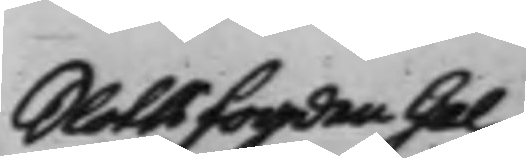Slottzfogden Gal¬
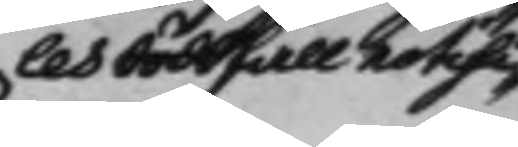les dödsfall notifi¬
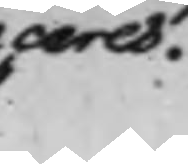ceres.
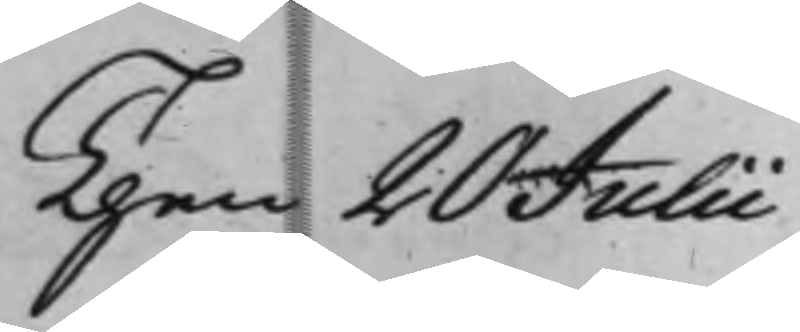Then 20 Julii
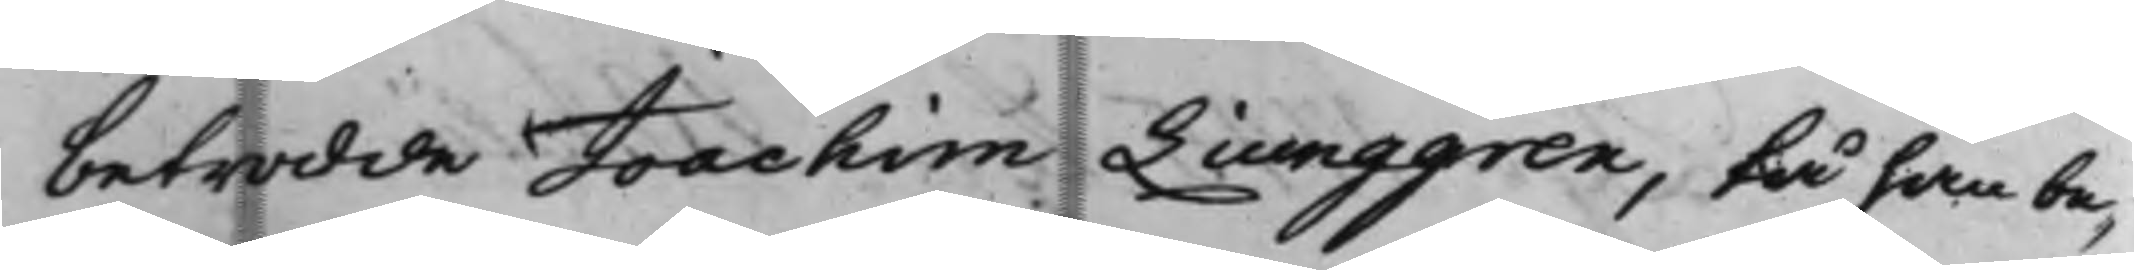betrodde Joachim Liunggren, tå han be¬
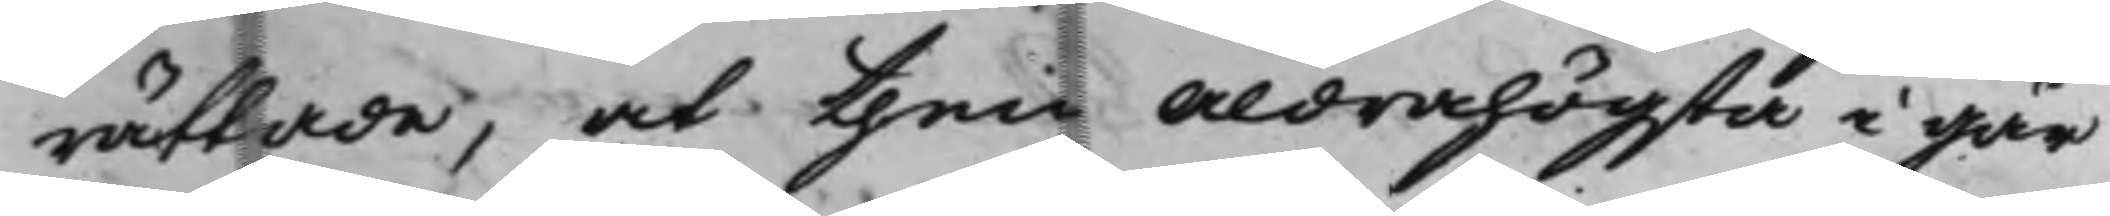rättade, och then aldrahögsta i går
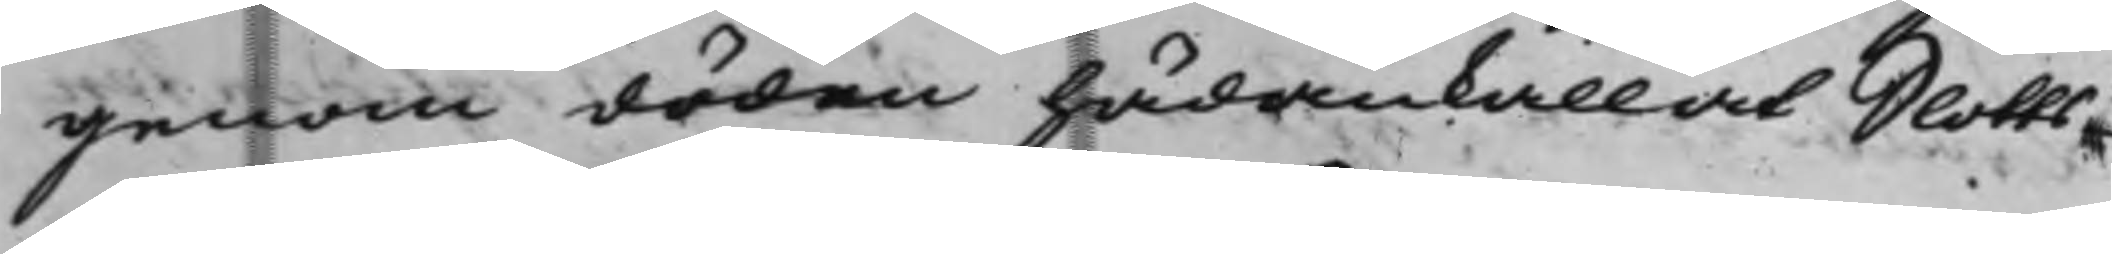genom döden hädankallat Slotts¬
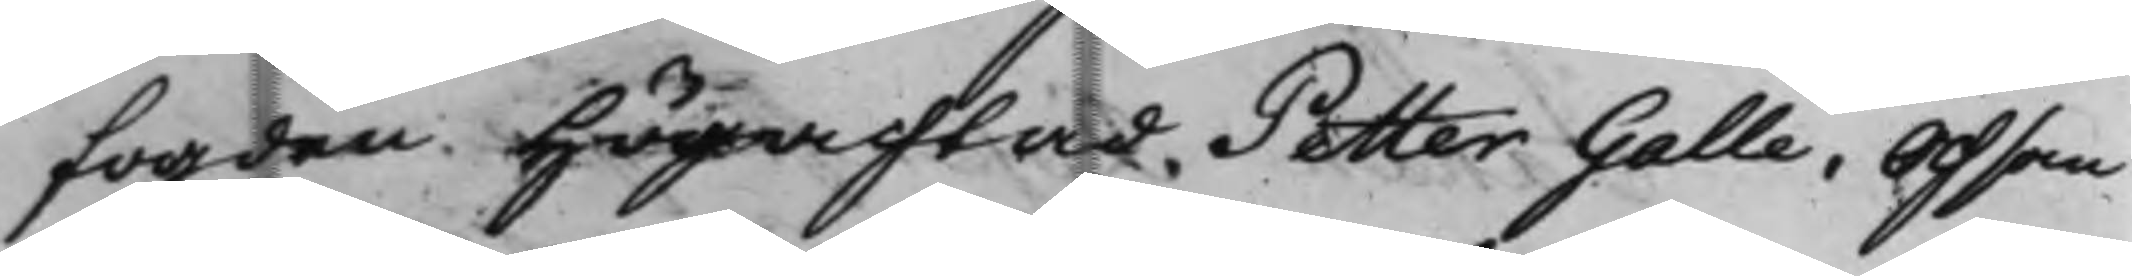fogden Högachtad Petter Galle. Och som
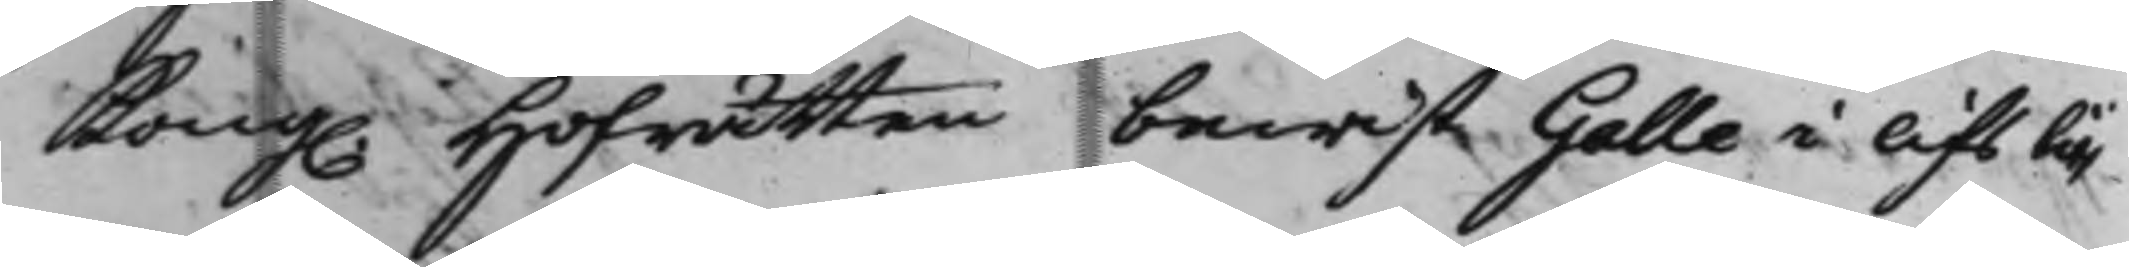Kong. Hofrätten bewist Galle i lifsti¬
